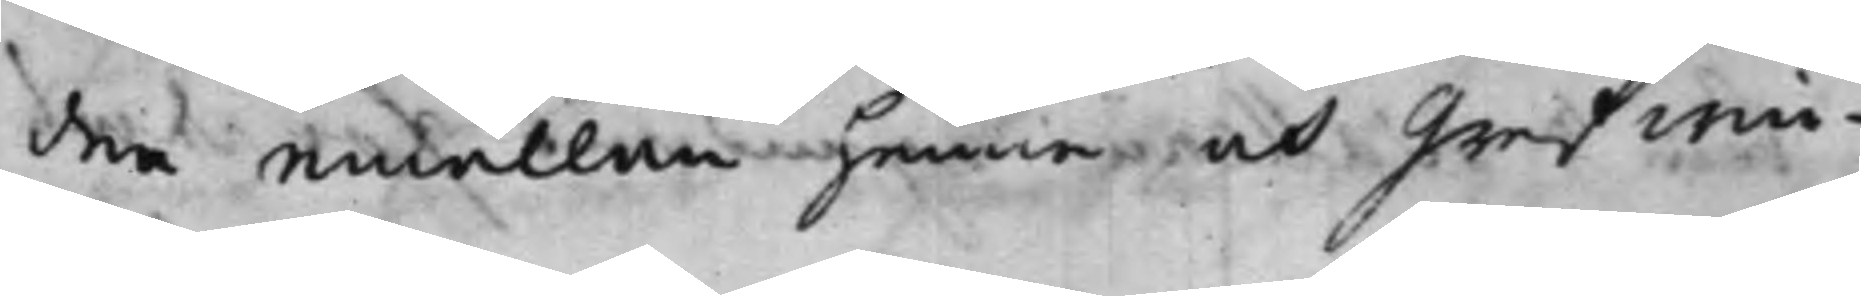den emällan henne och Grefwin¬
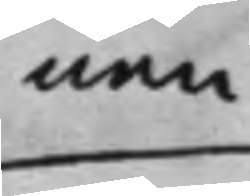nan
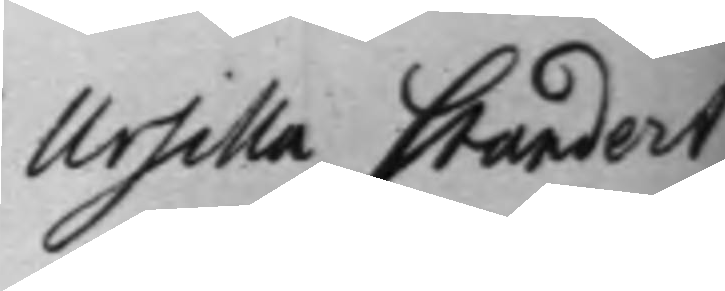Ursilla Standert
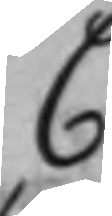C
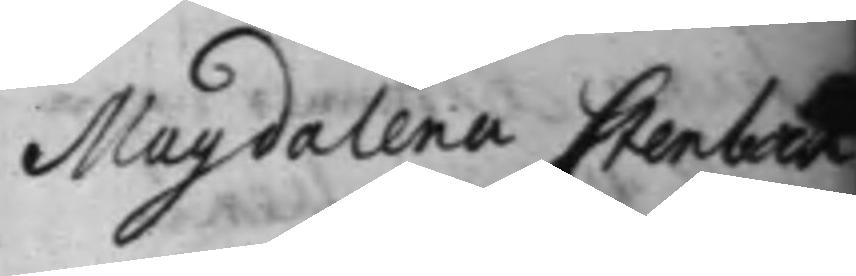Magdalena Stenbock
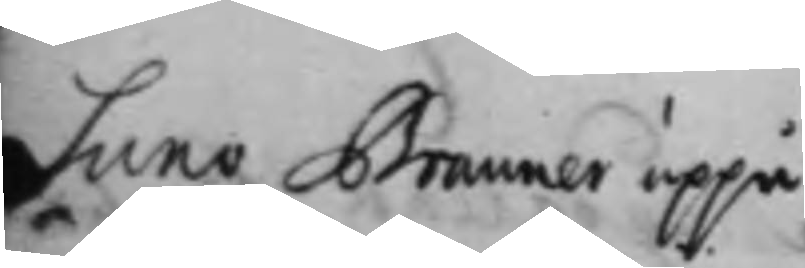Suno Brauner uppå
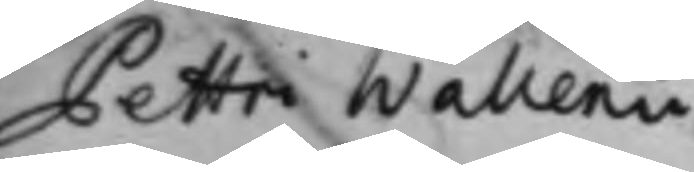Pettri Wallenii
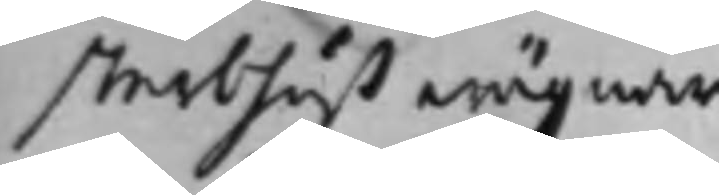sterbhuß wägnar
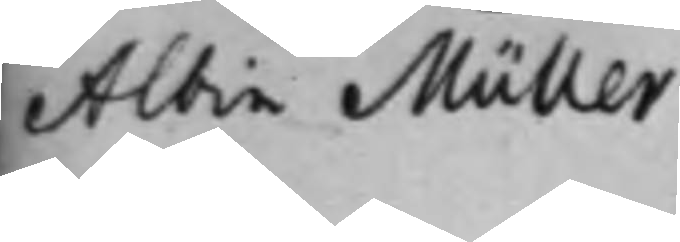Albin Müller
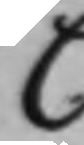C
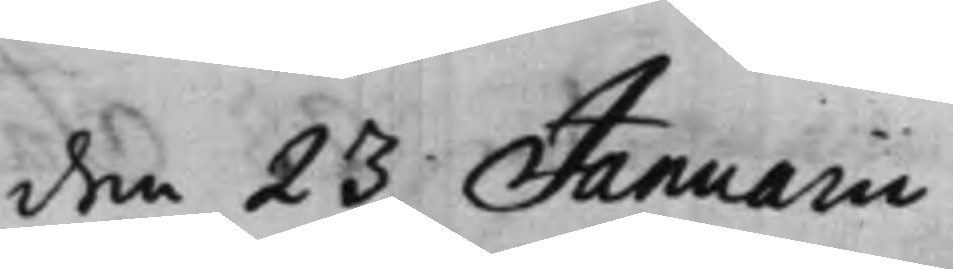den 23 Januarii
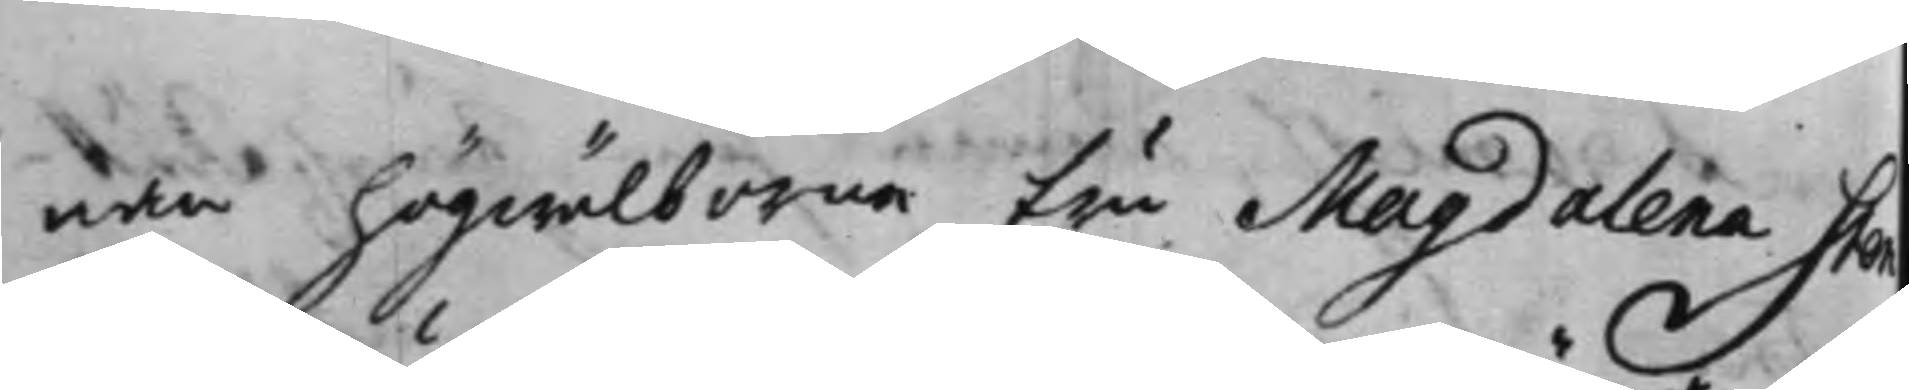nan högwälborna Fru Magdalena Sten¬
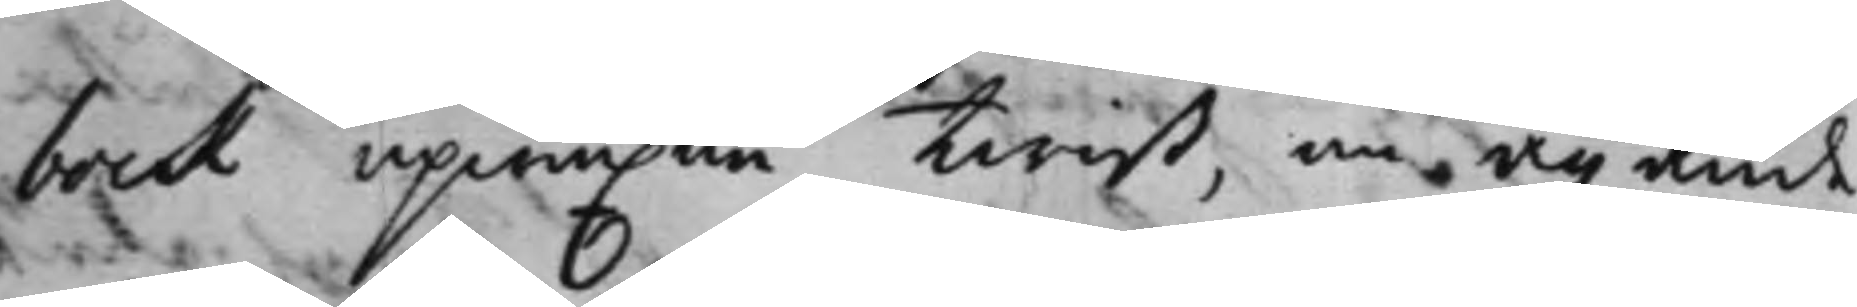bock upwuxne Twist, om ägande
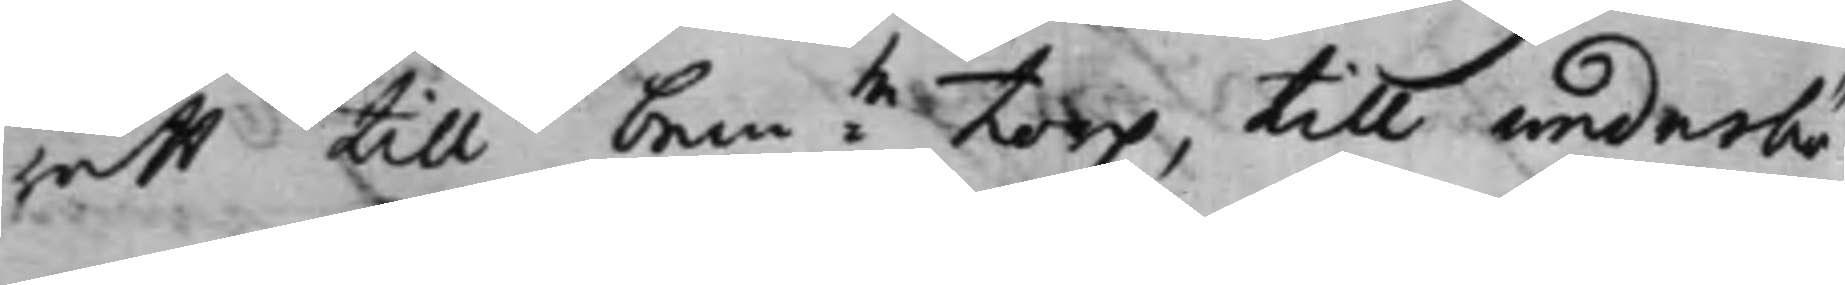rätt till bem:te Torp, till wederbö¬
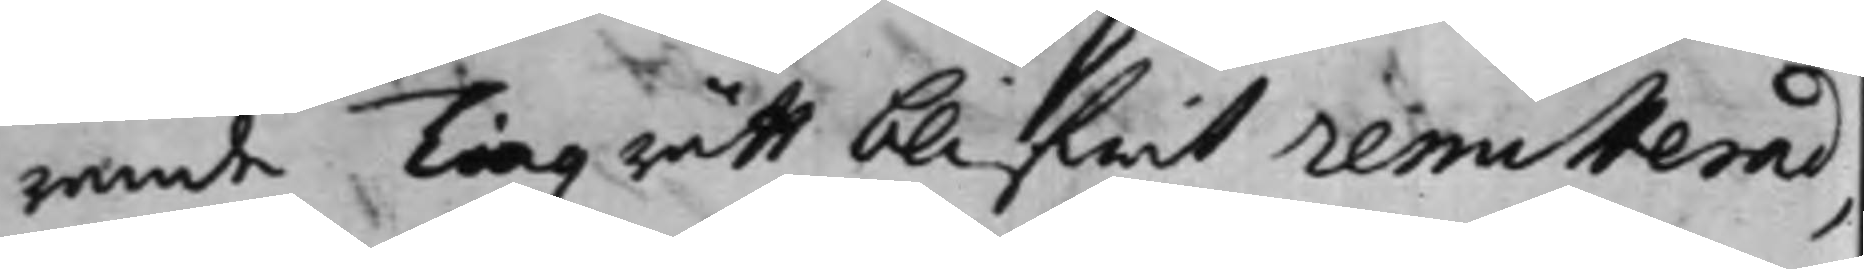rande Tingzrätt blifwit remitterad,
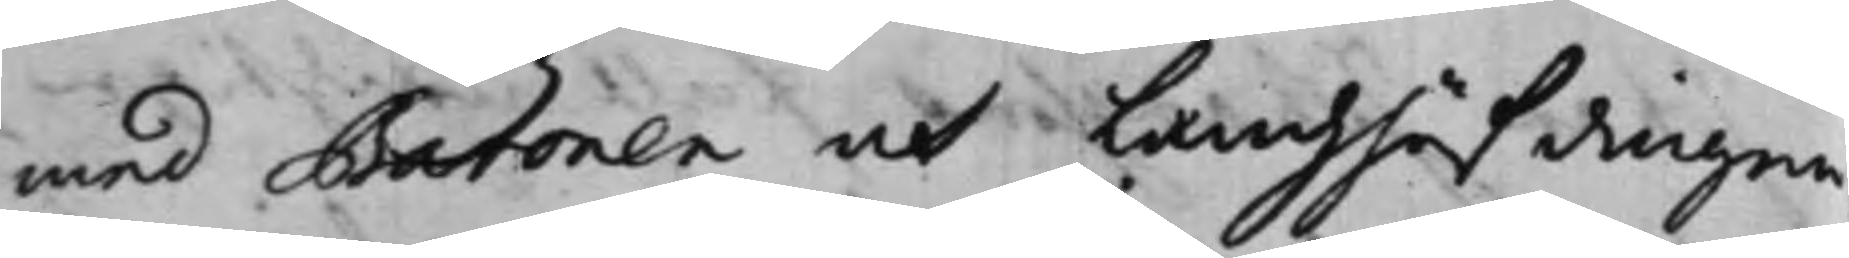med Baronen och Landzhöfdingen
